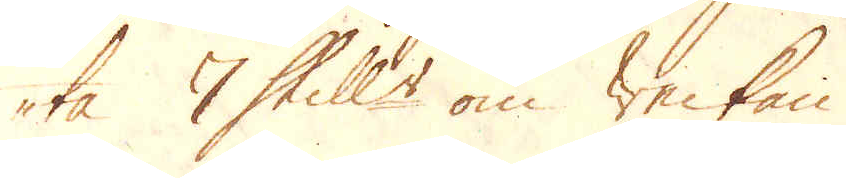ta 7 Skill:r om Weckan.
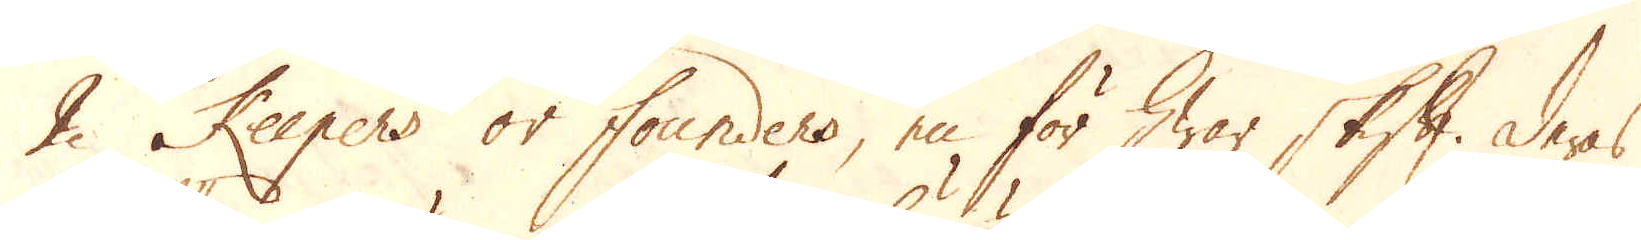2 Keepers or founders, en för hwar skift. Deras
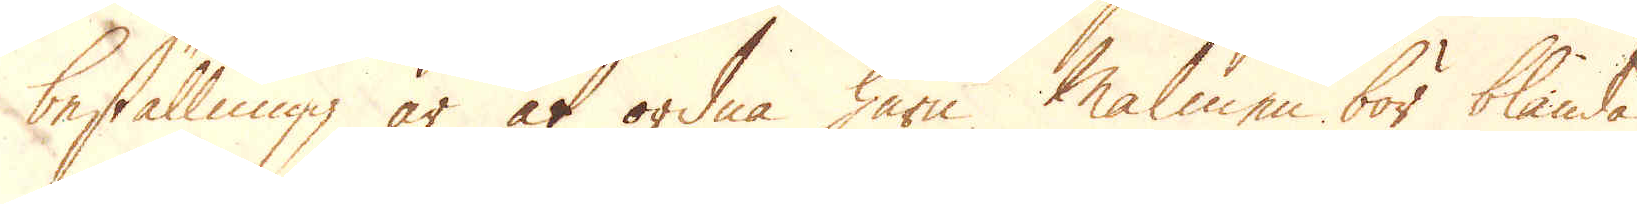beställning är at ordna huru Malmen bör blandas
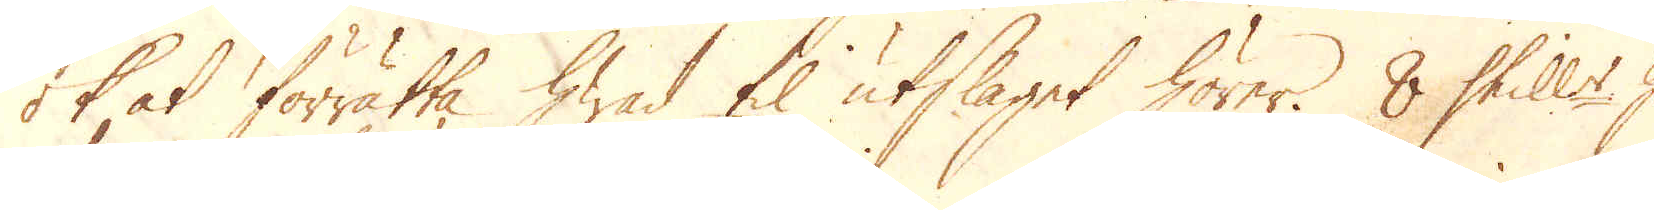ok at förrätta hwad til utslaget hörer. 8 Skill:r hwar-
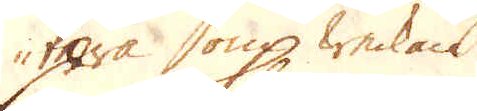tera om Weckan.
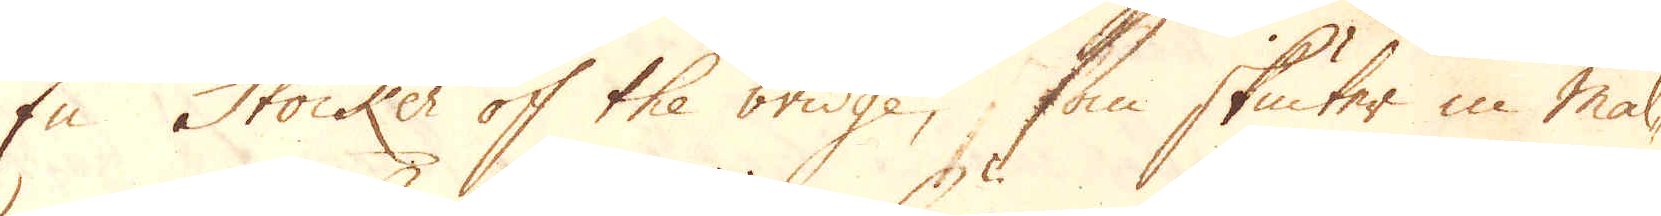En Stocker of the bridge, som skiuter in mal-
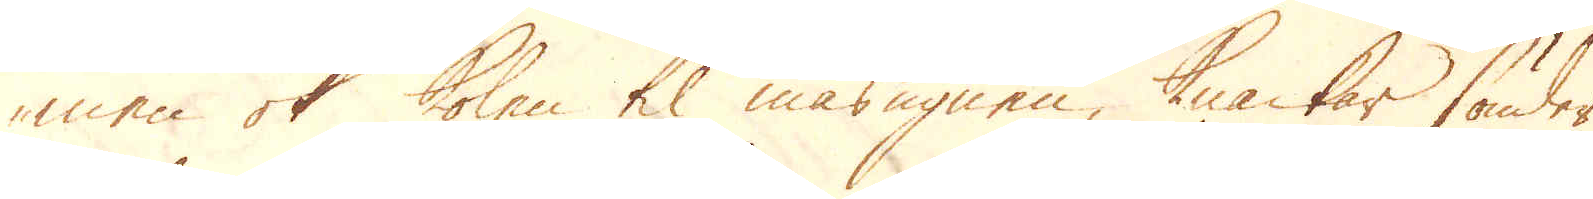men ok kolen til masugnen, knackar sönder
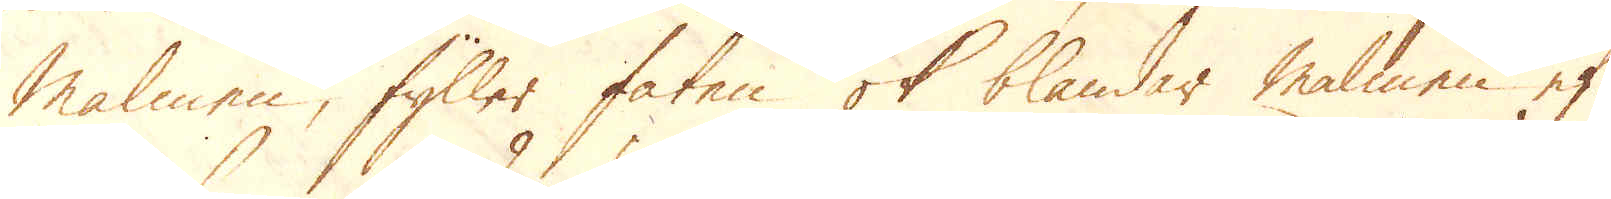Malmen, fyller faten ok blandar malmen ef-
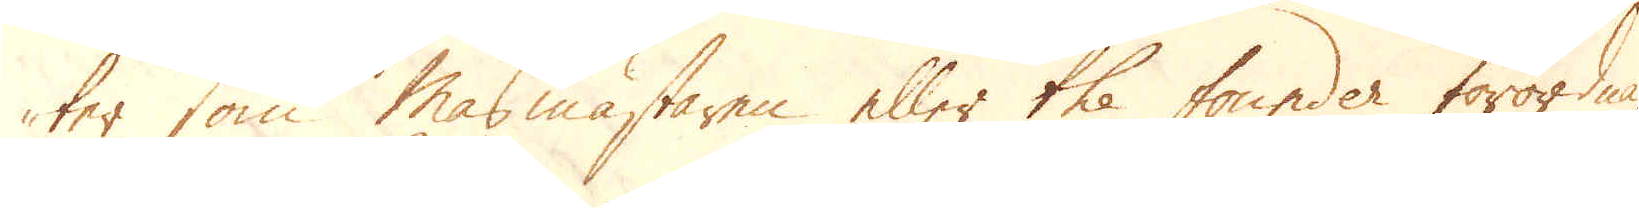ter som Masmästaren eller the founder förordnar,
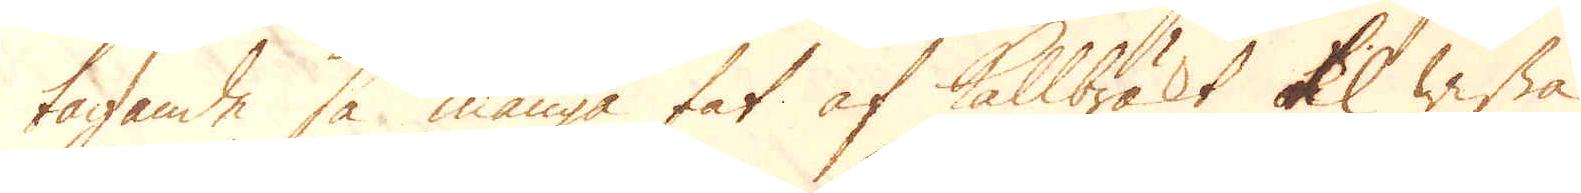tagande så många fat af Kallbräkt til wissa
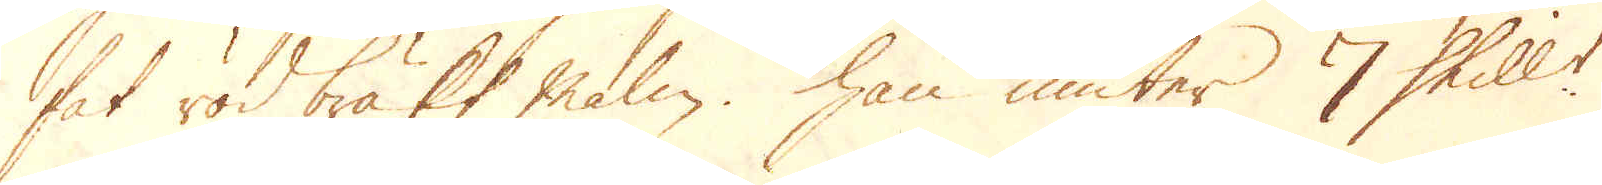fat rödbräkt malm. Han niuter 7 Skill:r
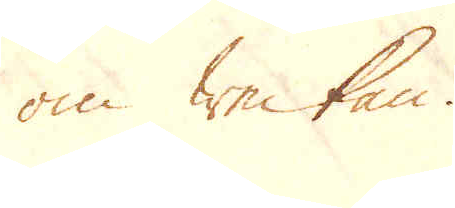om Weckan.
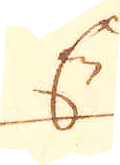En
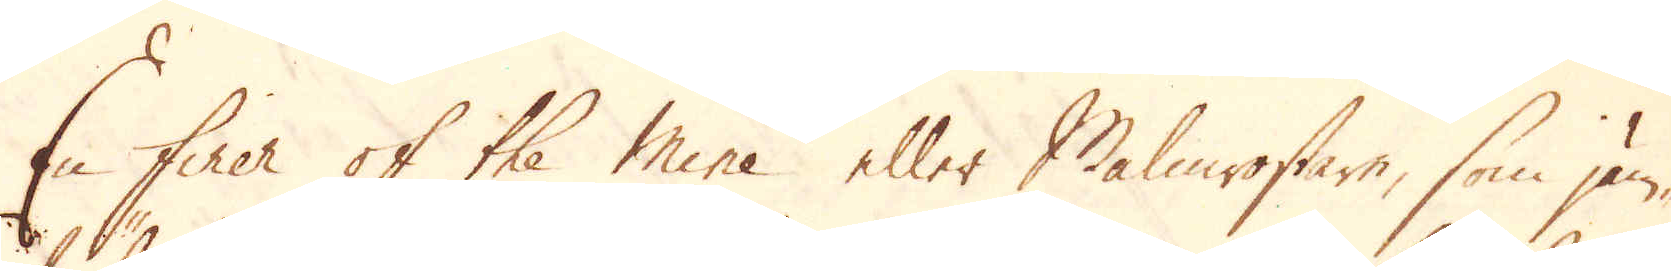En finer of the Mine eller Malmrostare, som jäm-
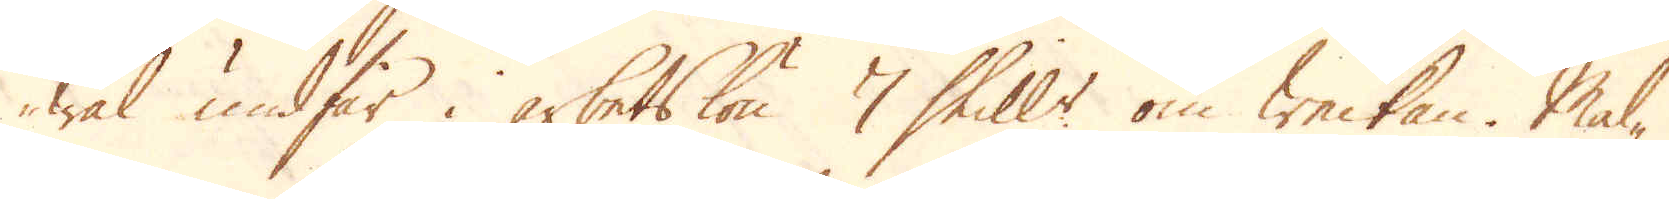wäl undfår i arbetslön 7 Skill:r om Weckan. Mal-
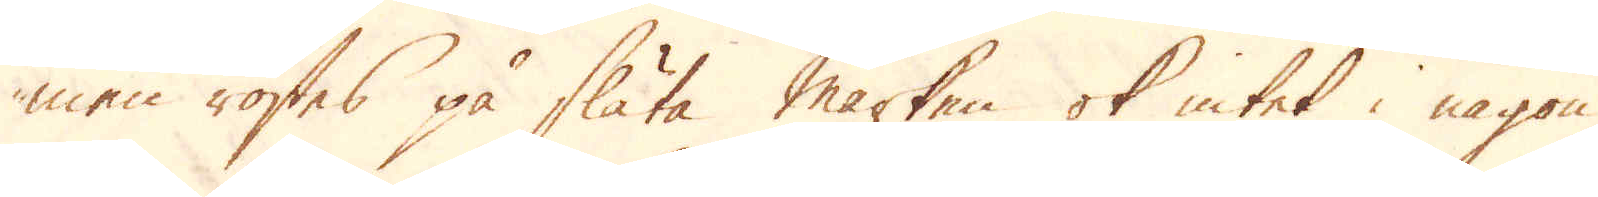men rostes på släta marken ok intet i någon
